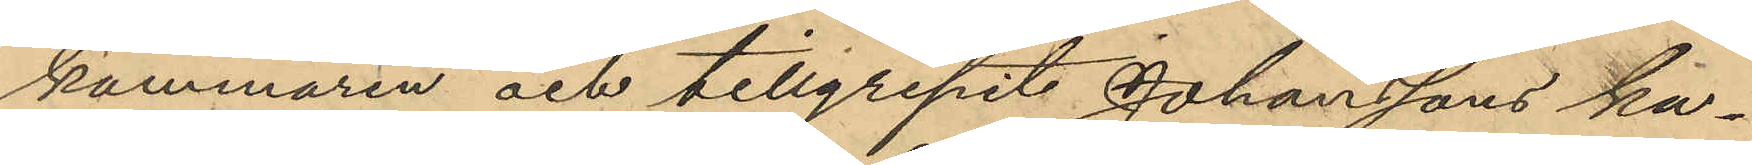kammaren och tillgripit Johanssons ka¬
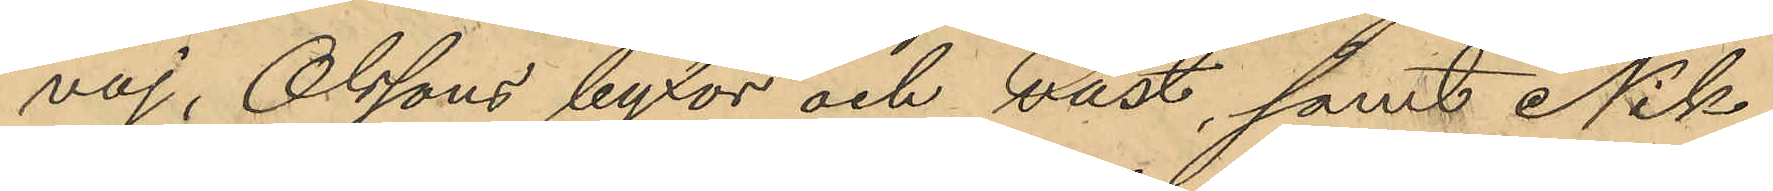vaj, Olssons byxor och väst, samt Nik¬
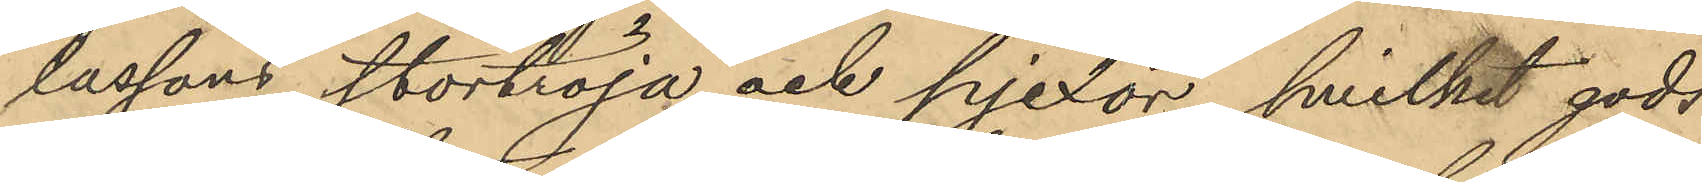lassons stortröja och pjexor, hvilket gods
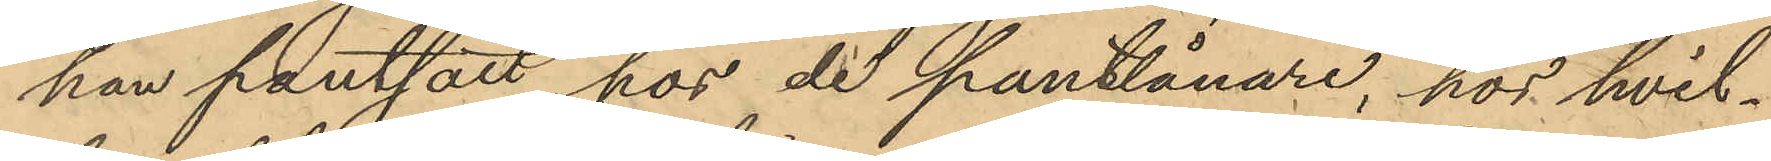han pantsatt for de pantlånare, hos hvil¬
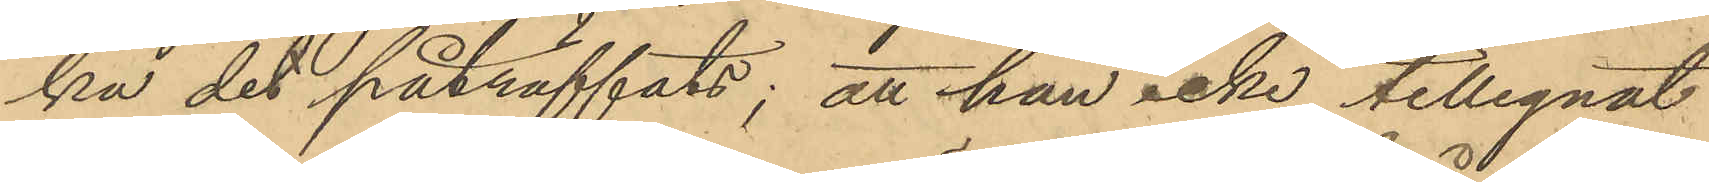ka det påträffats; att han icke tillegnat
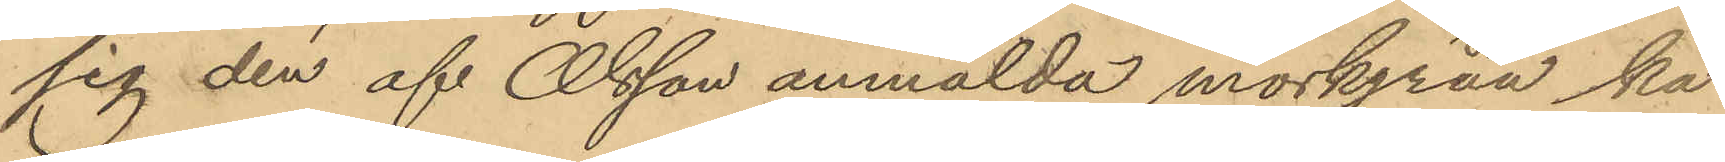sig den af Olsson anmälda mörkgråa ka¬
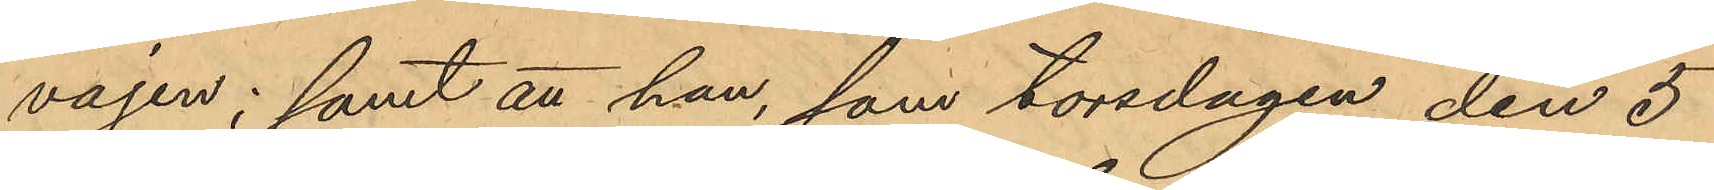vajen; samt att han, som torsdagen den 5
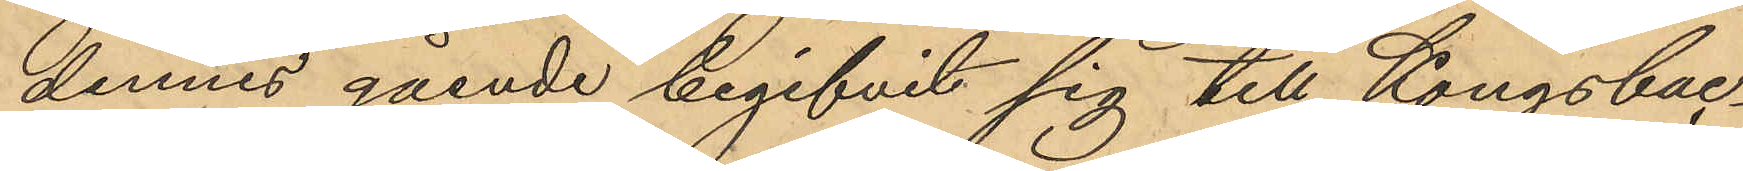dennes gående begifvit sig till Kongsbac¬
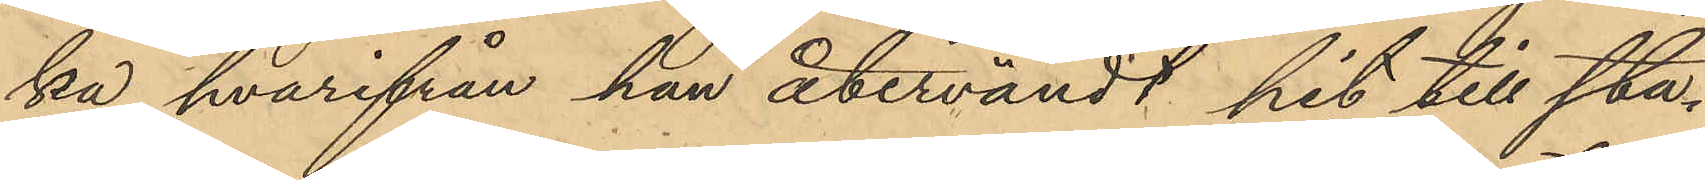ka hvarifrån han återvändt hit till sta¬
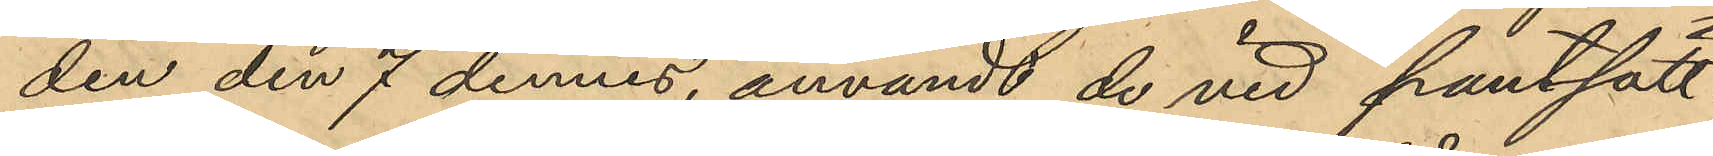den den 7 dennes, användt de vid pantsätt¬
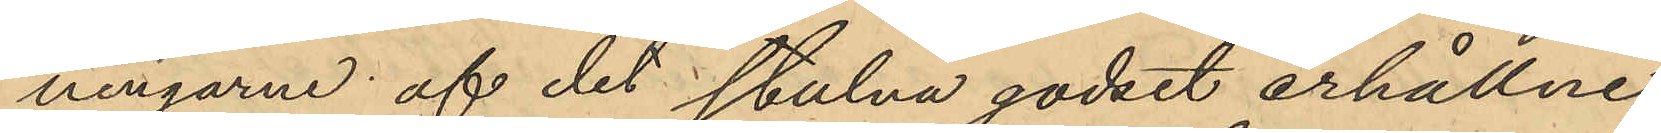ningarne af det stulna godset erhållne
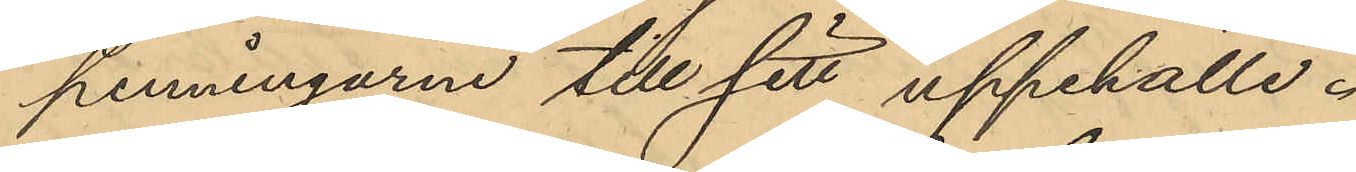penningarne till sitt uppehälle.
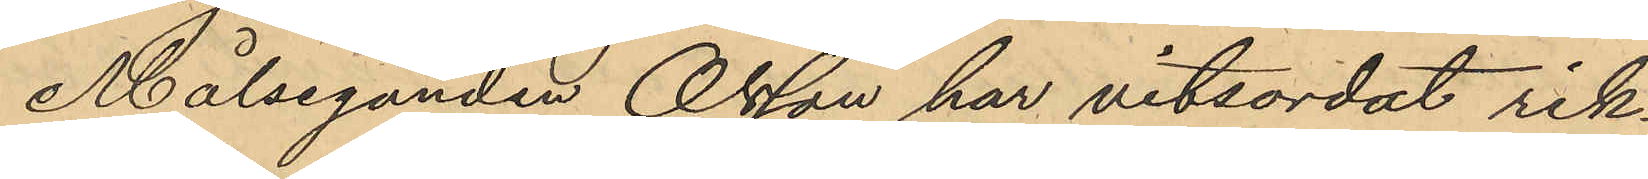Målseganden Olsson har vitsordat rik¬
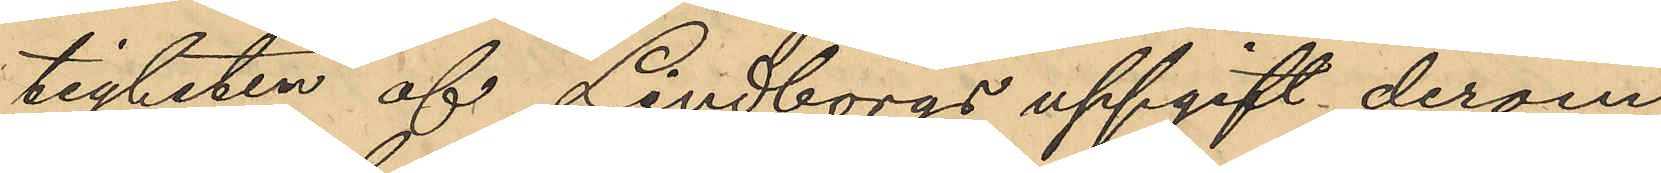tigheten af Lindborgs uppgift derom
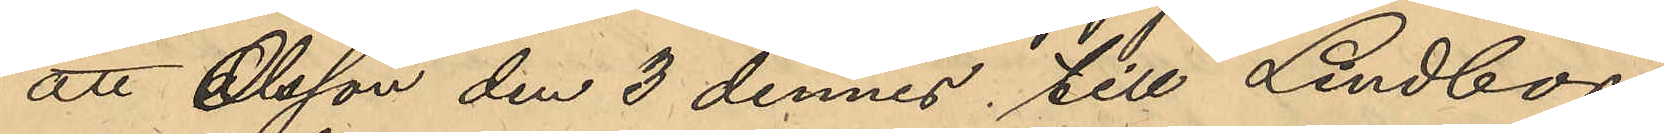att Olsson den 3 dennes till Lindborg
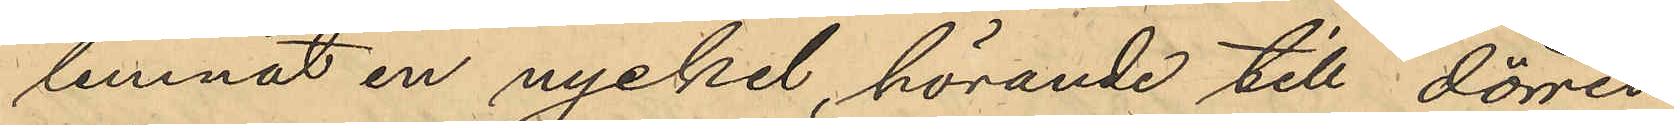lemnat en nyckel, hörande till dörren
